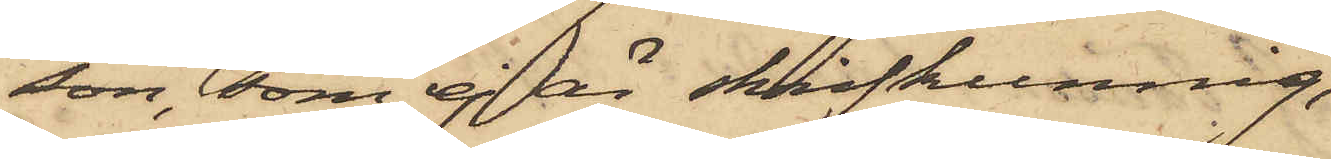son, som ej är skrifkunnig,
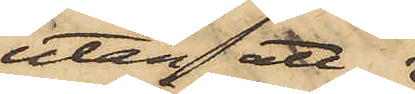utan att
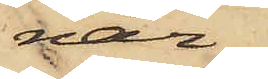när¬
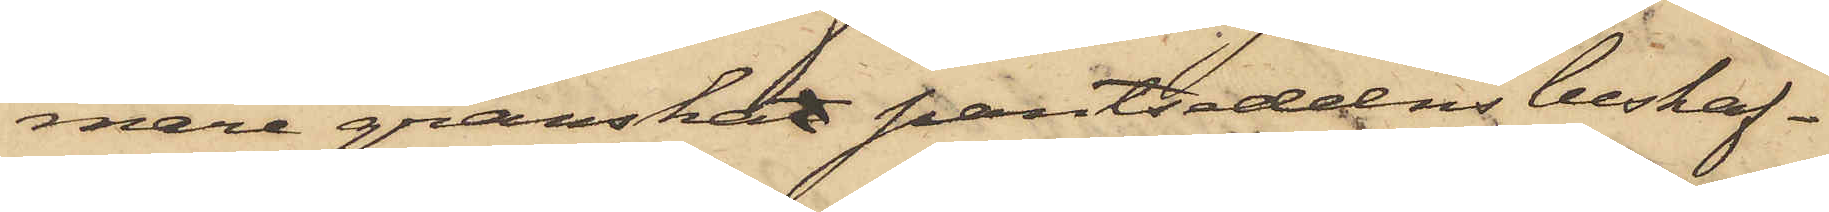mare granskat pantsedelns beskaf¬
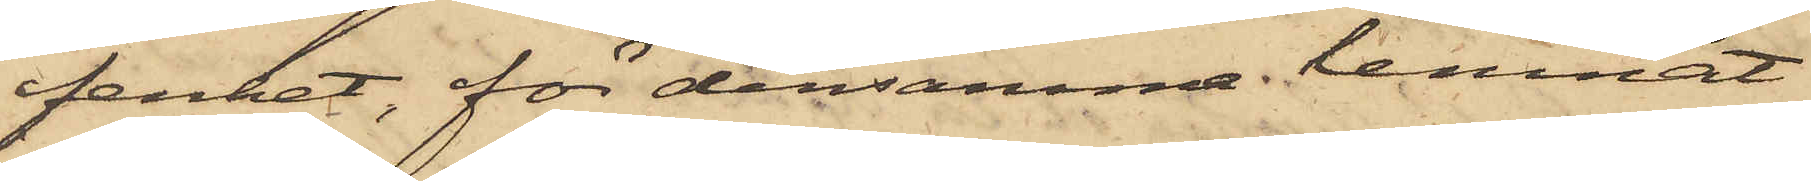fenhet, för densamma lemnat
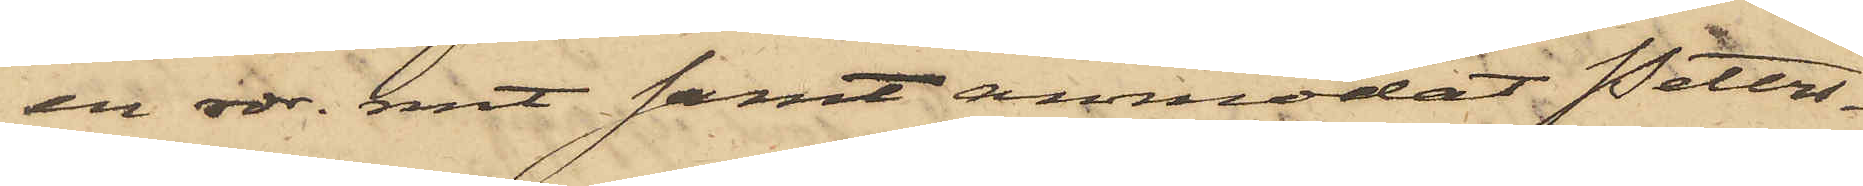en rdr. rmt samt anmodat Peters¬
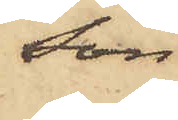son
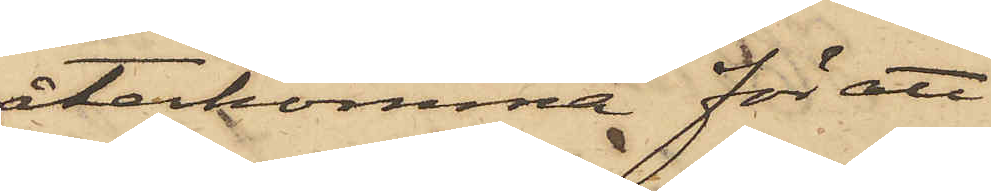återkomma för att
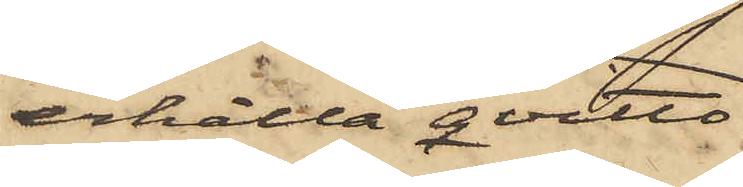erhålla qvitto
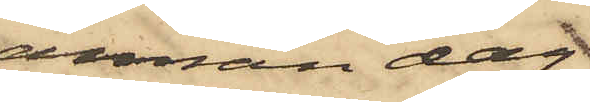annan dag
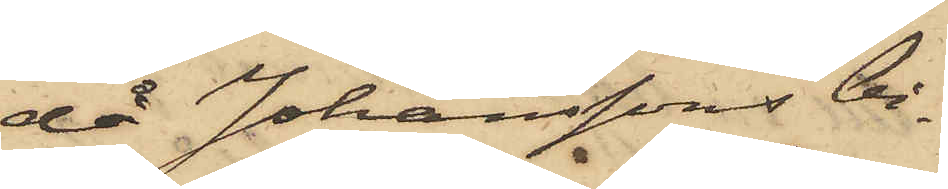då Johanssons bi¬
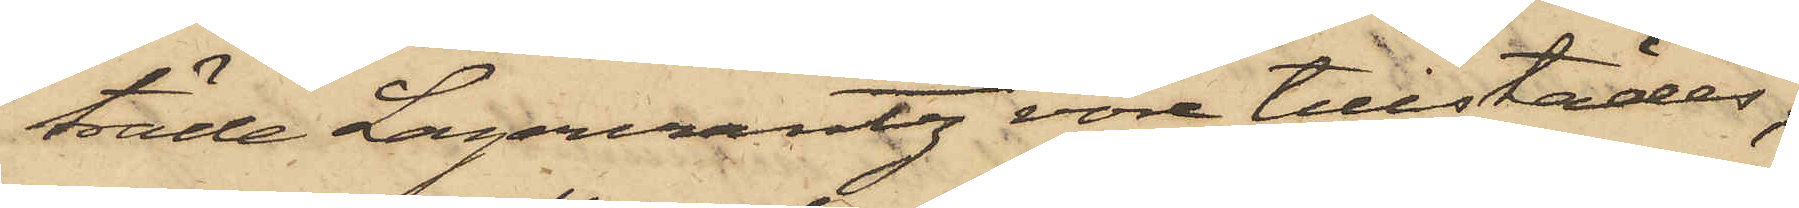träde Lagercrantz vore tillstädes;
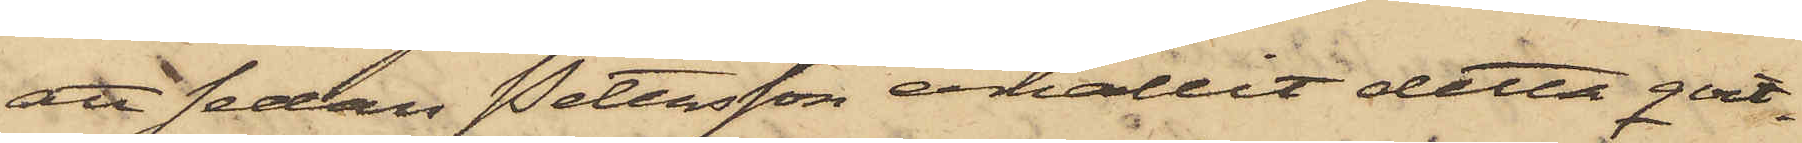att sedan Pettersson erhållit detta qvit¬
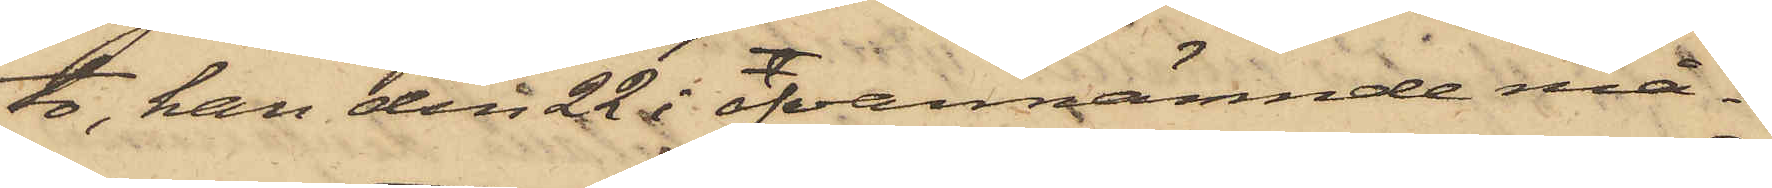to; han den 22 i ofvannämnde må¬
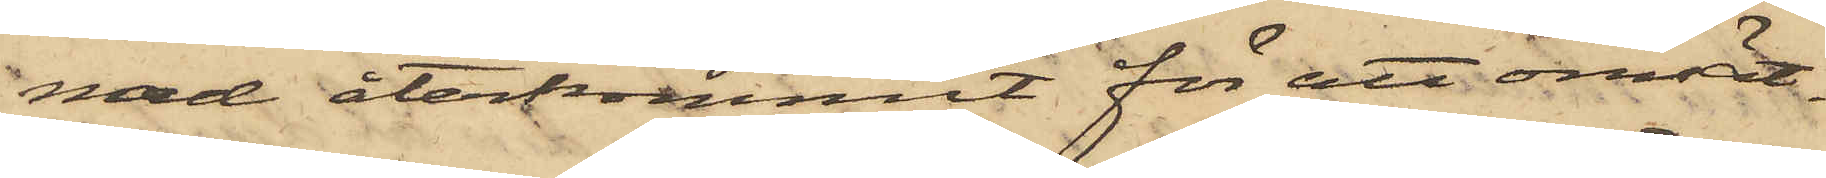nad återkommit för att omsätt¬
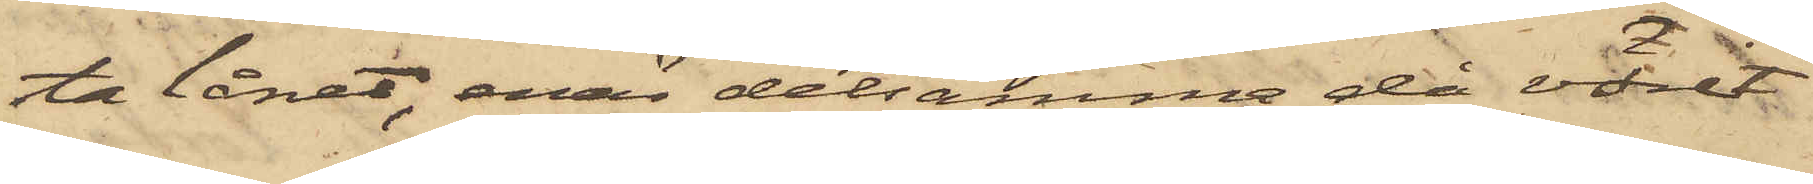ta lånet, enär detsamma då varit
